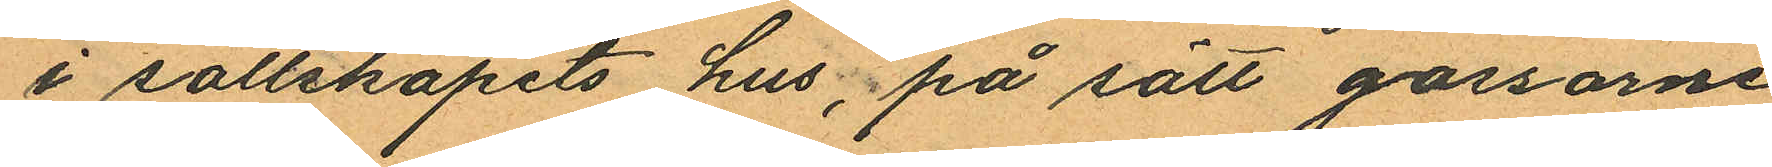i sällskapets hus, på sätt gossarne
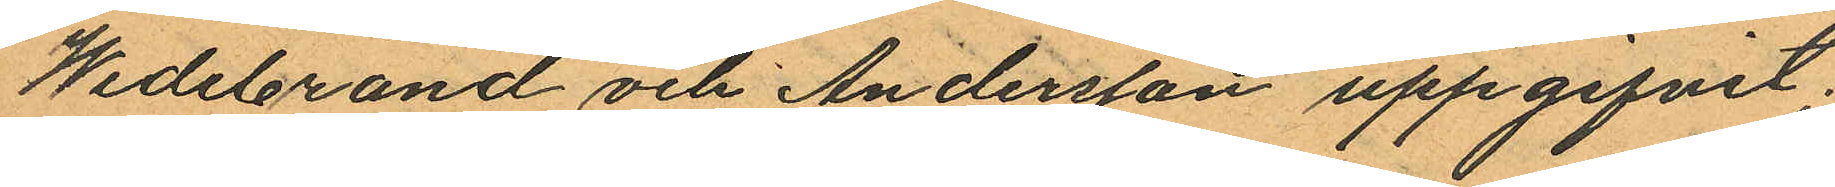Wedebrand och Andersson uppgifvit;
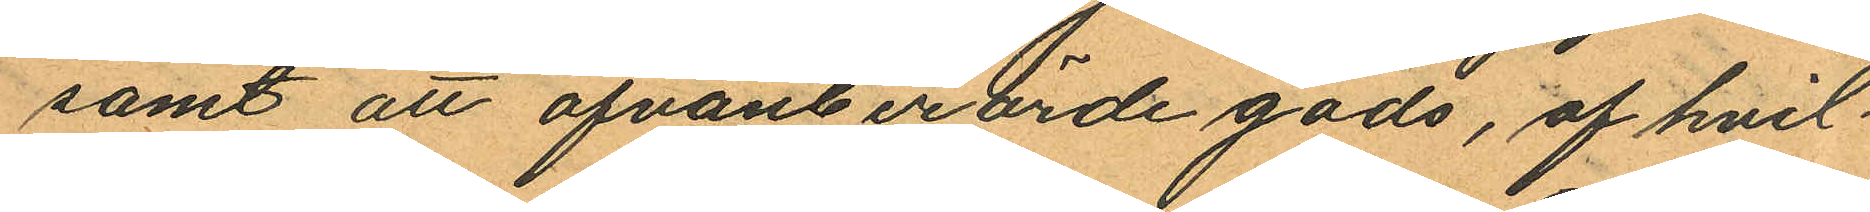samt att ofvanberörde gods, af hvil¬
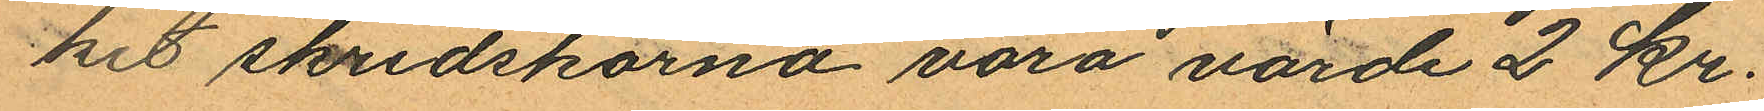hit skridskorna vara värde 2 kr.
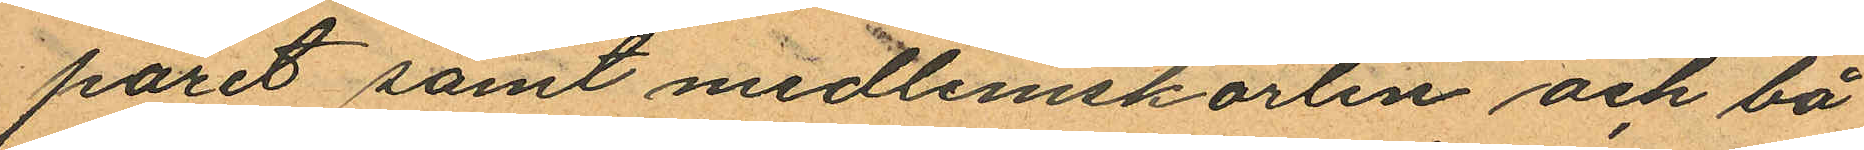paret samt medlemskorten och bå¬
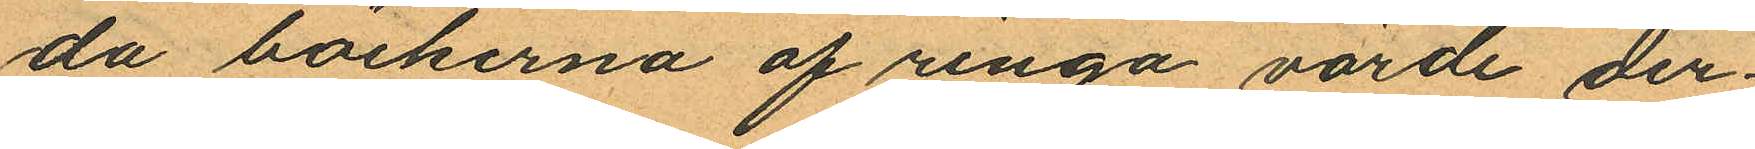da böckerna af ringa värde der¬
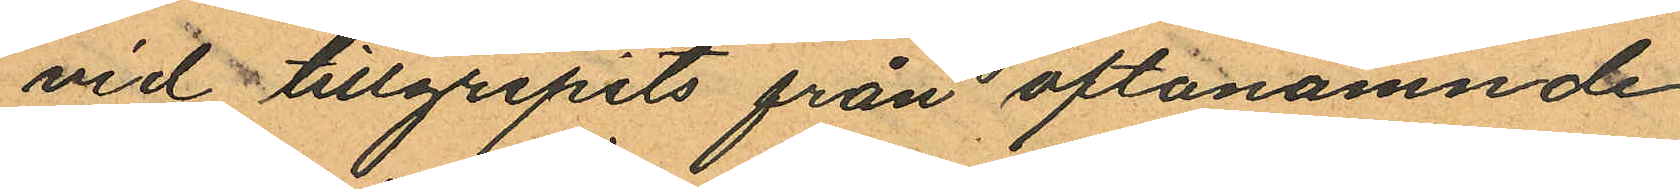vid tillgripits från oftanämnde
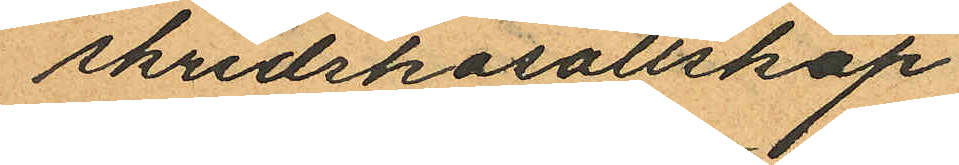skridskosällskap.
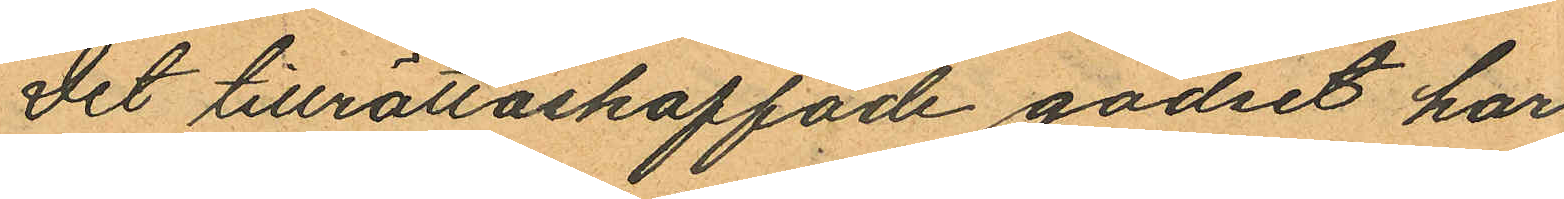Det tillrättaskaffade godset har
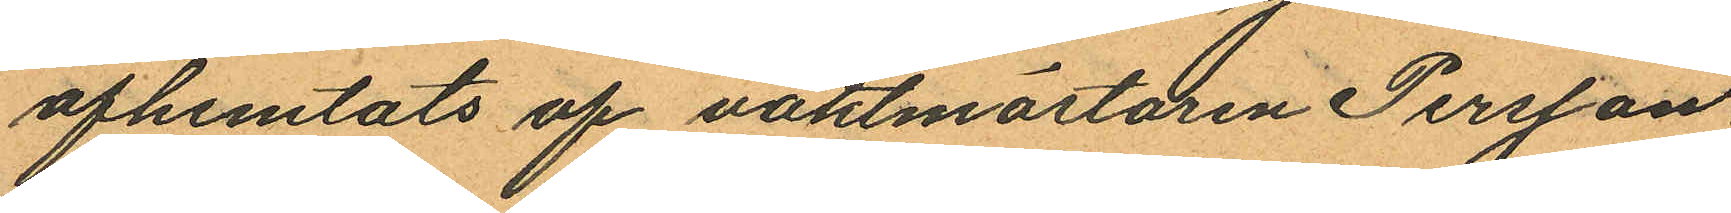afhemtats af vaktmästaren Persson.
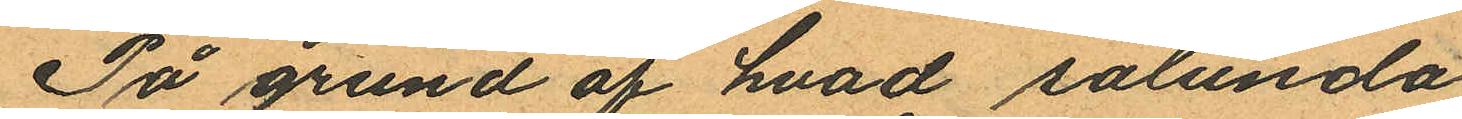På grund af hvad sålunda
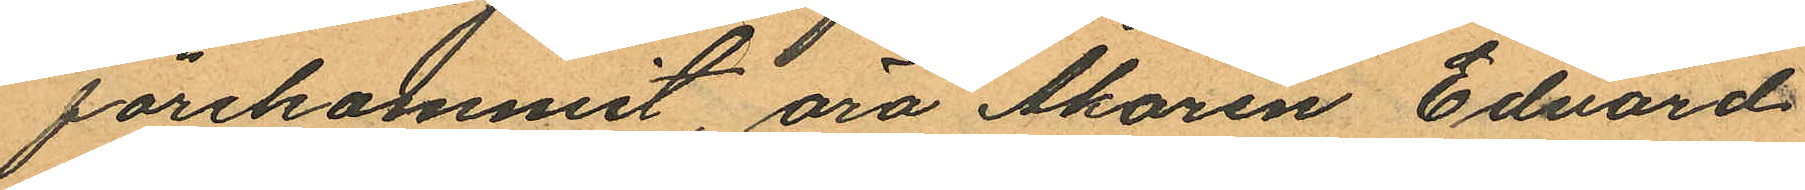förekommit, äro Åkaren Edvard
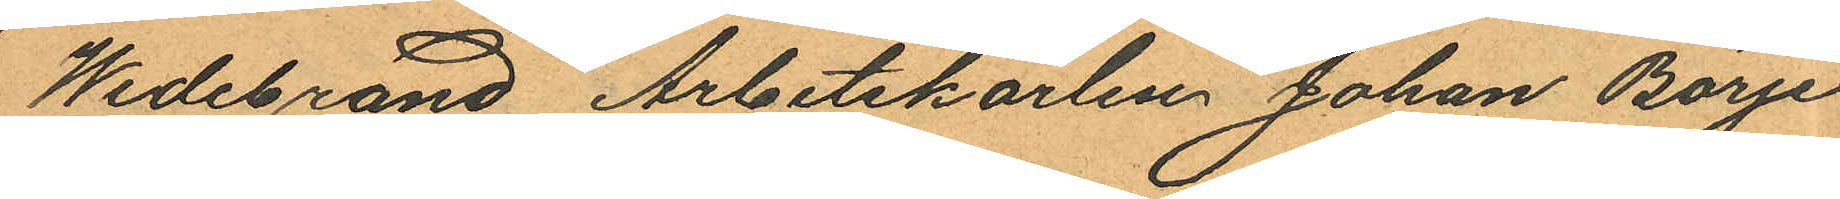Wedebrand Arbetskarlen Johan Börje
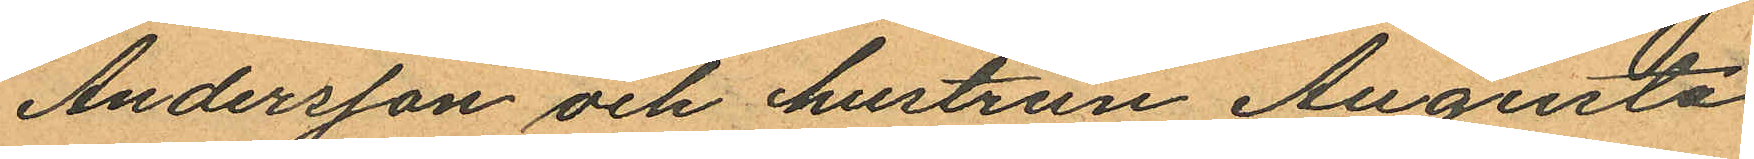Andersson och hustrun Augusta
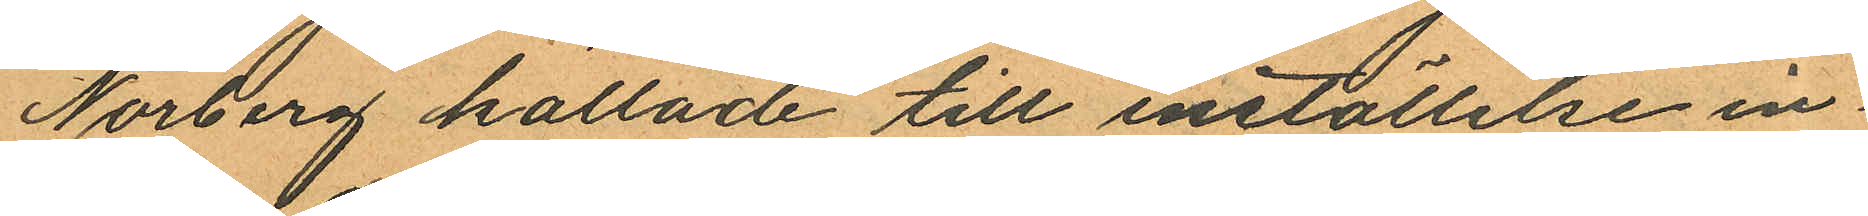Norberg kallade till inställelse in¬
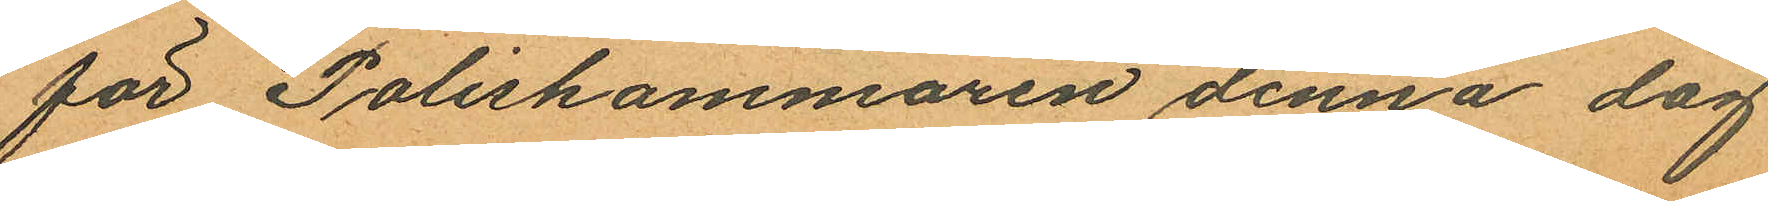för Poliskammaren denna dag
